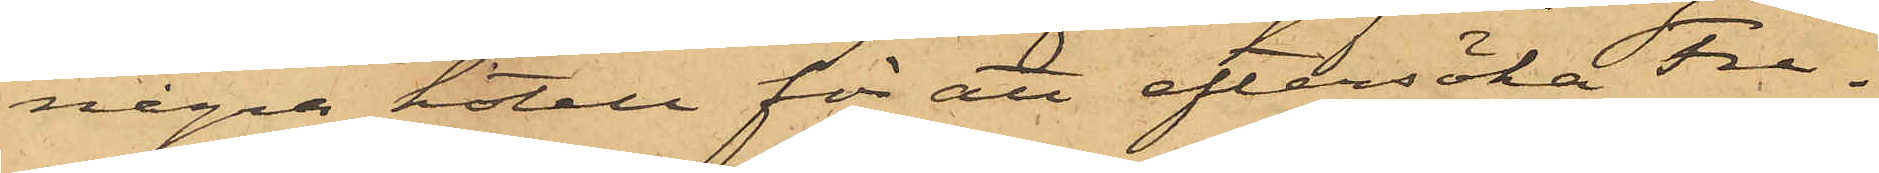några hotell för att eftersöka Fre¬
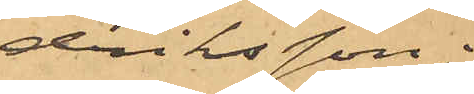driksson;
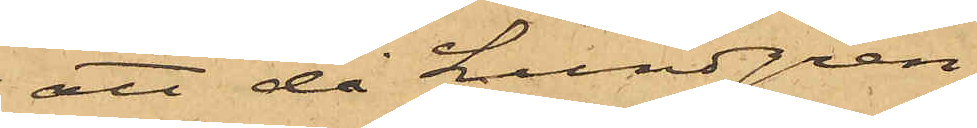att då Lundgren
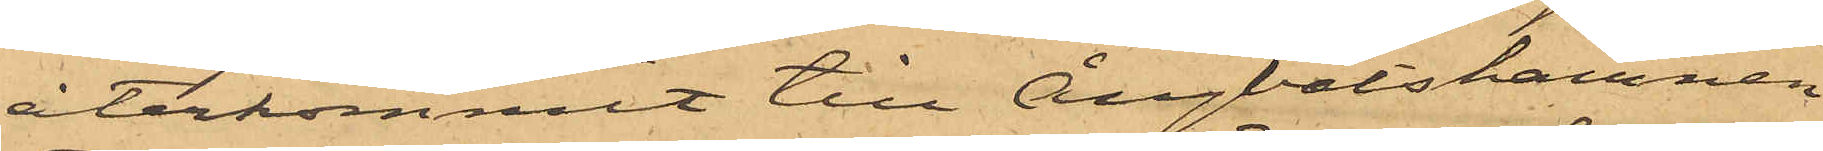återkommit till Ångbåtshamnen
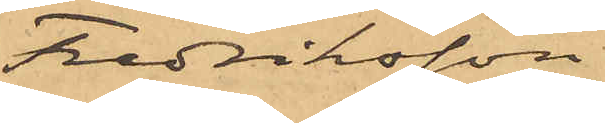Fredriksson
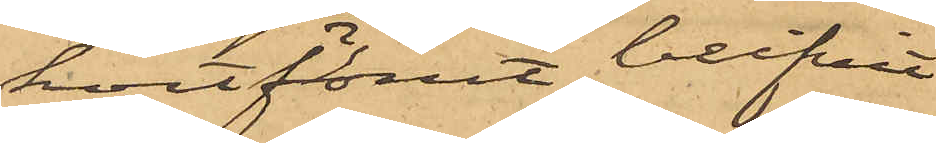kort förut blifvit
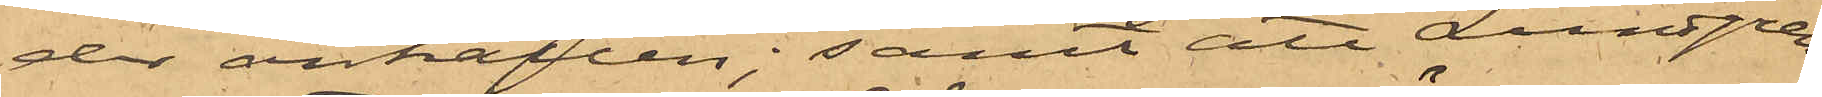der anhållen; samt att Lundgren
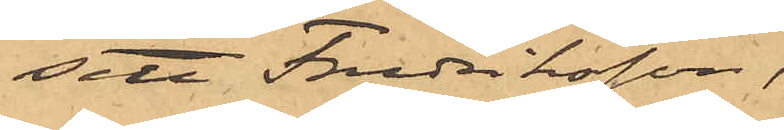sett Fredriksson,
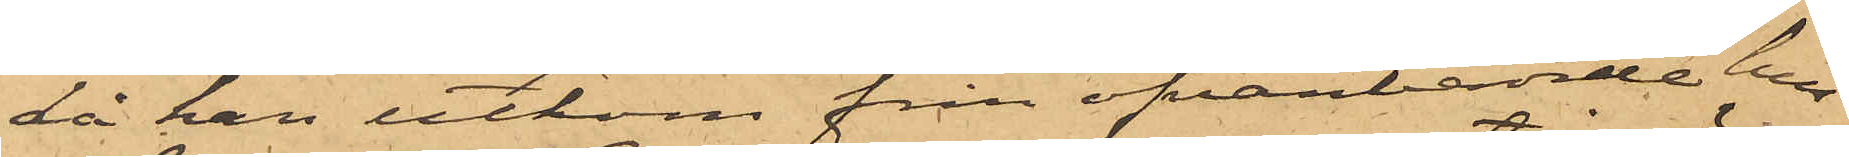då han utkom från ofvanberörde hus
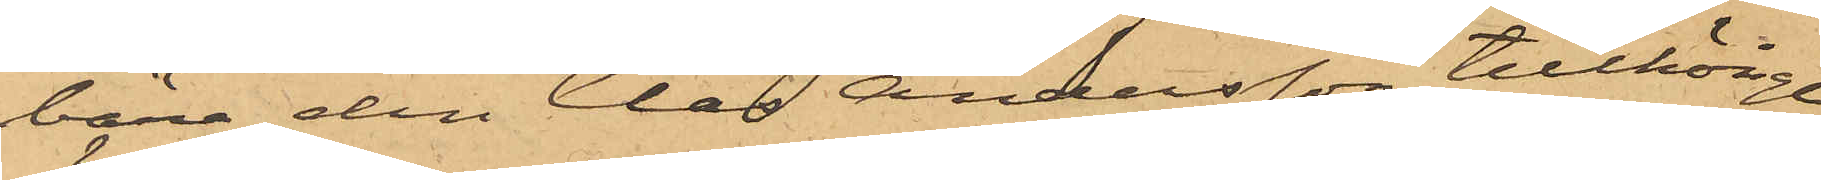bära den Claes Andersson tillhörige
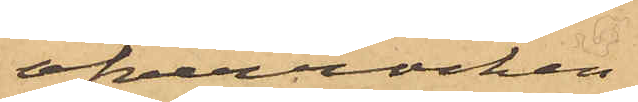öfverrocken.
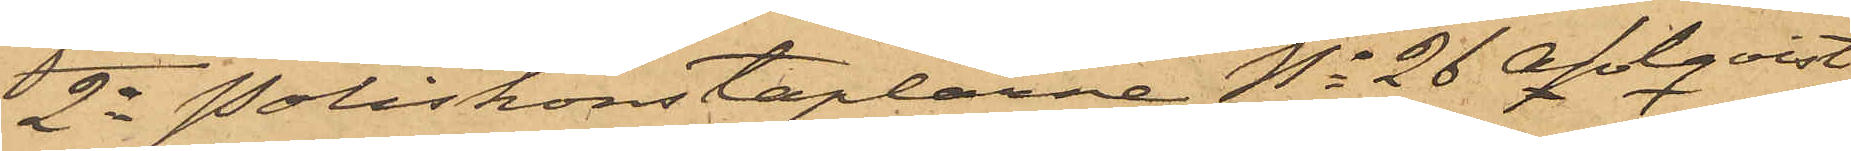2o Poliskonstaplarne No 26 Ahlqvist
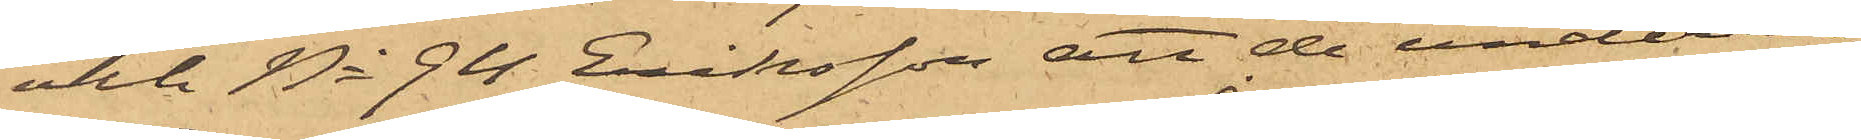och No 94 Eriksson, att de underrät¬
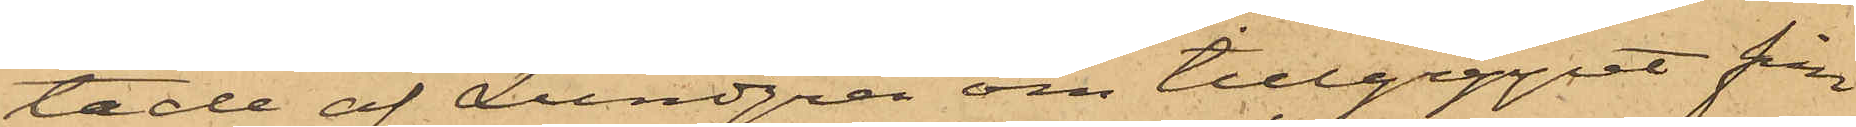tade af Lundgren om tillgreppet från
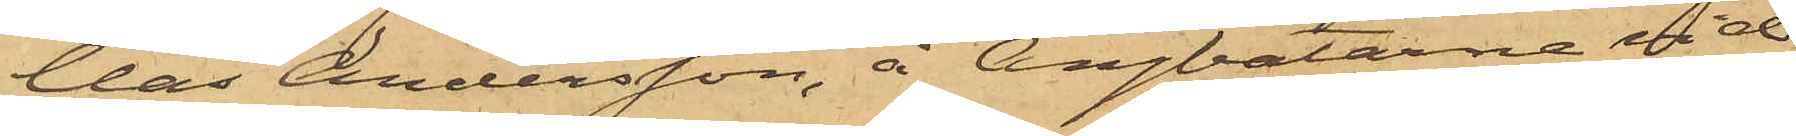Clas Andersson, å Ångbåtarna vid
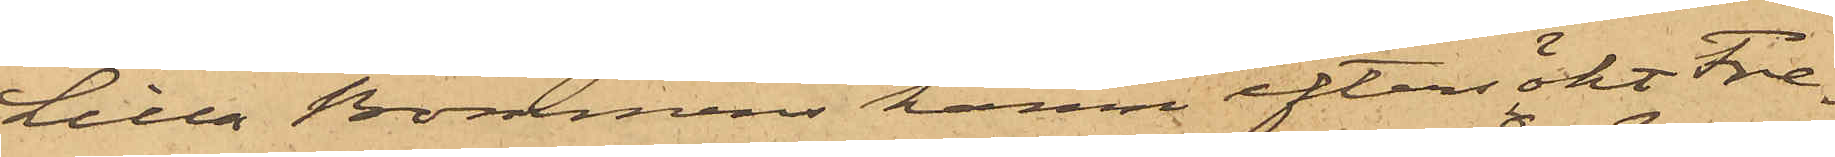Lilla Bommens hamn eftersökt Fre¬
